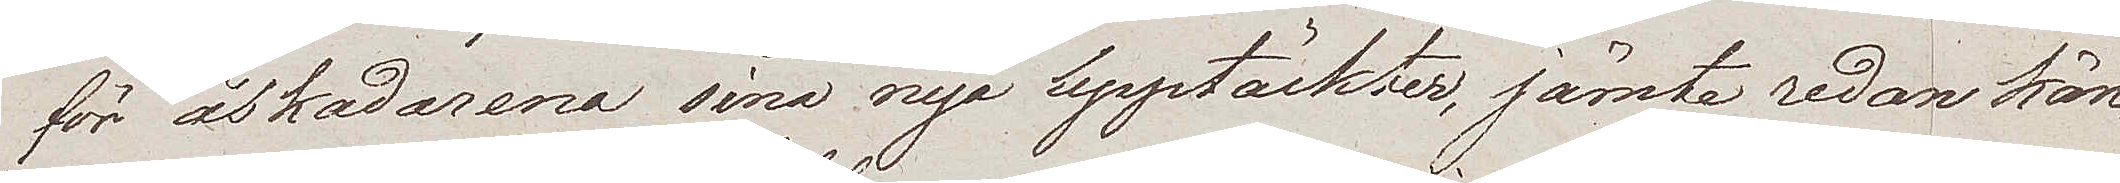för åskådarena sina nya upptäckter, jämte redan kän¬
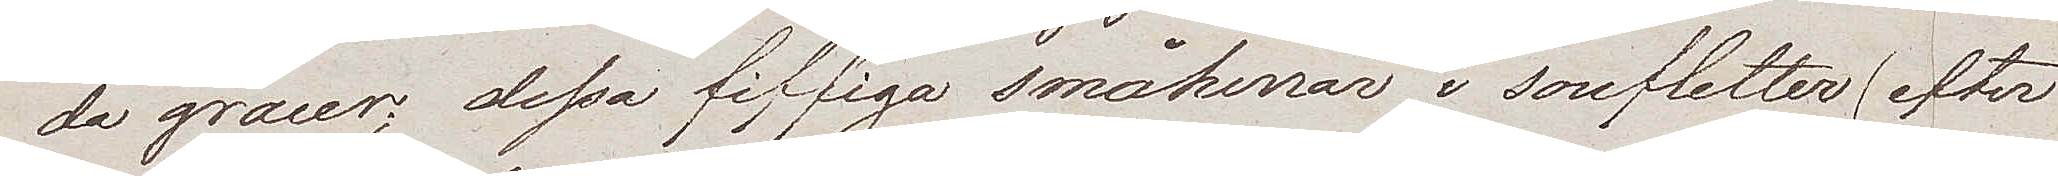da gracer; dessa fiffiga småherrar i soufletter (efter
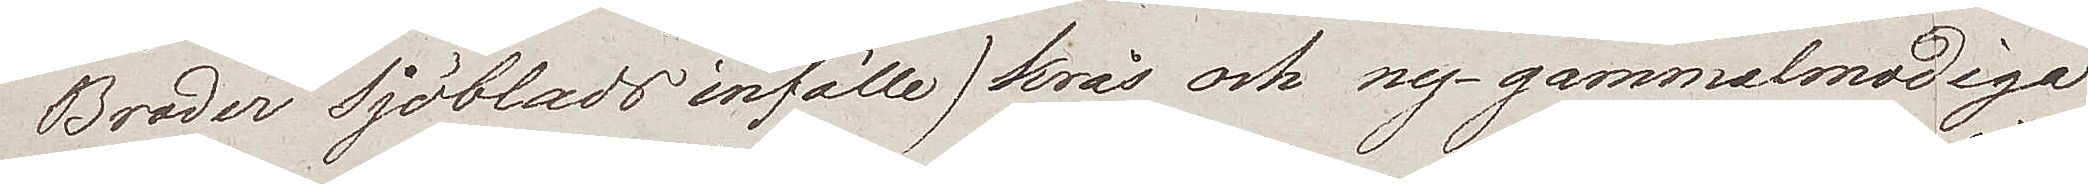Broder Sjöblads infälle) krås och ny-gammalmodiga
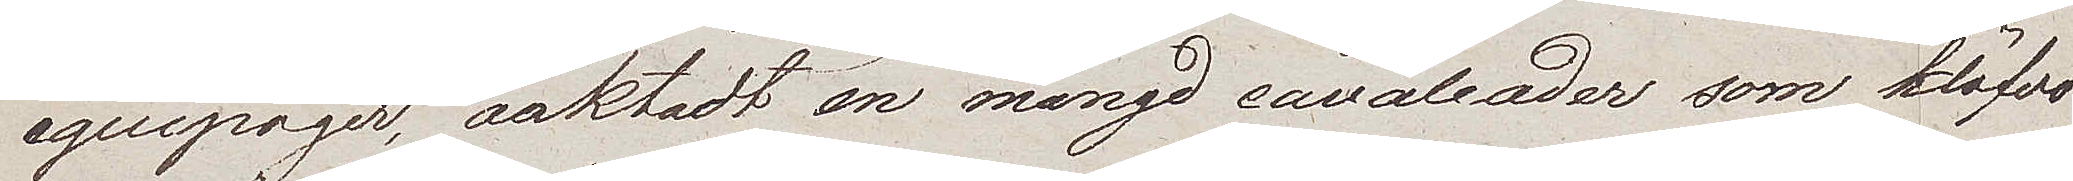equipager, oaktadt en mångd cavalcader som klöfvo
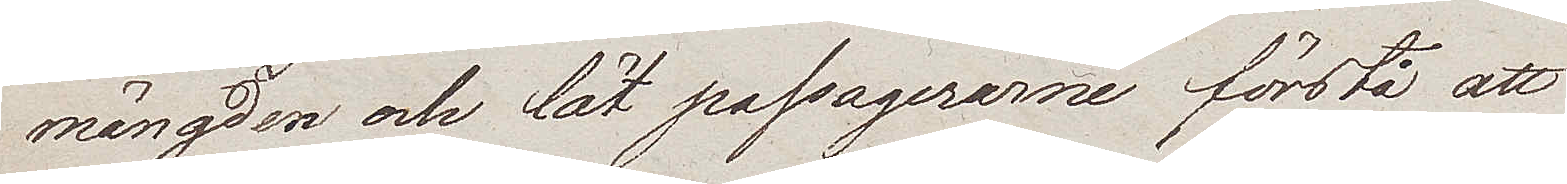mängden och lät passagerarne förstå att
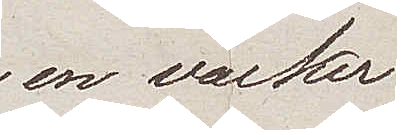en vacker
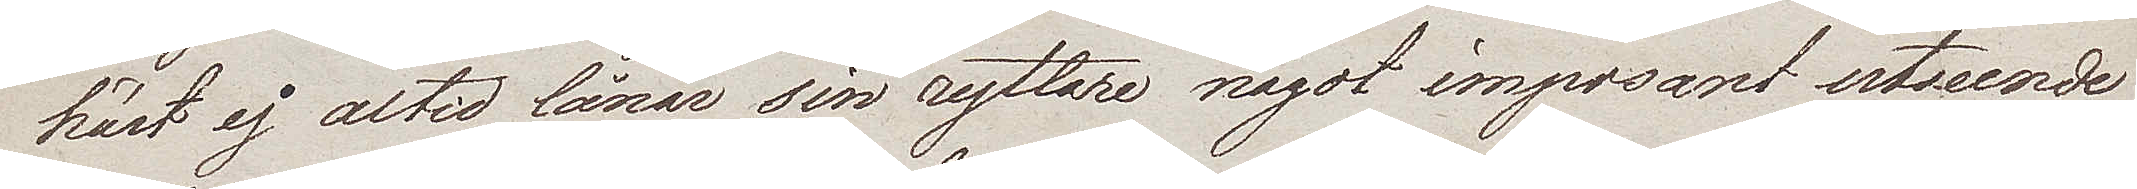häst ej altid lånar sin ryttare något imposant utseende,
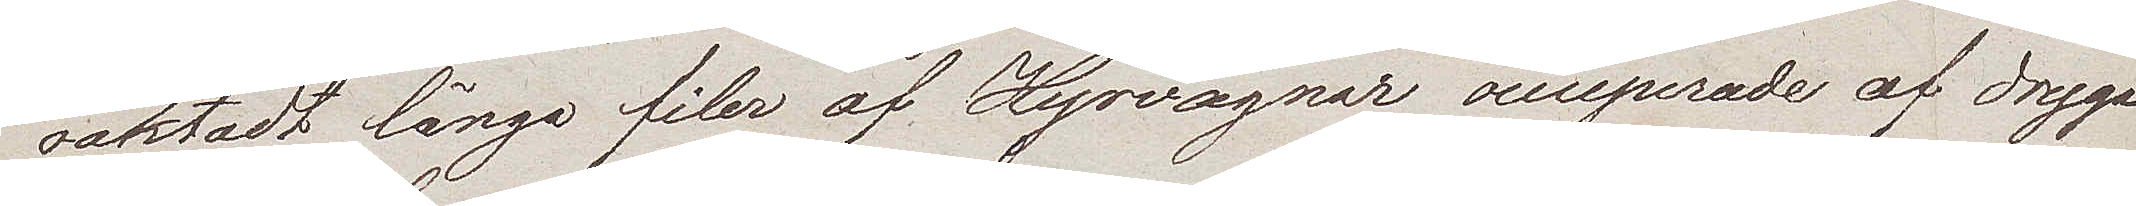oaktadt långa filer af Hyrvagnar occuperade af dryga
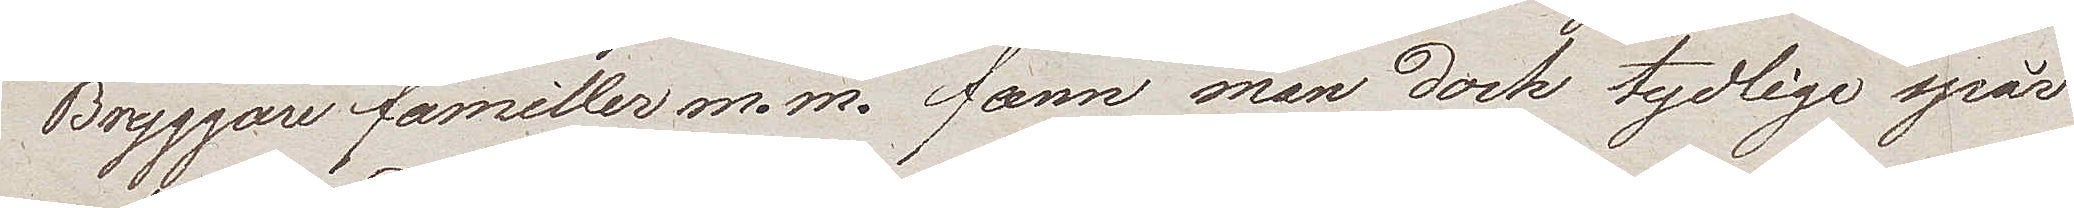Bryggarefamiller m. m. fann man dock tydliga spår
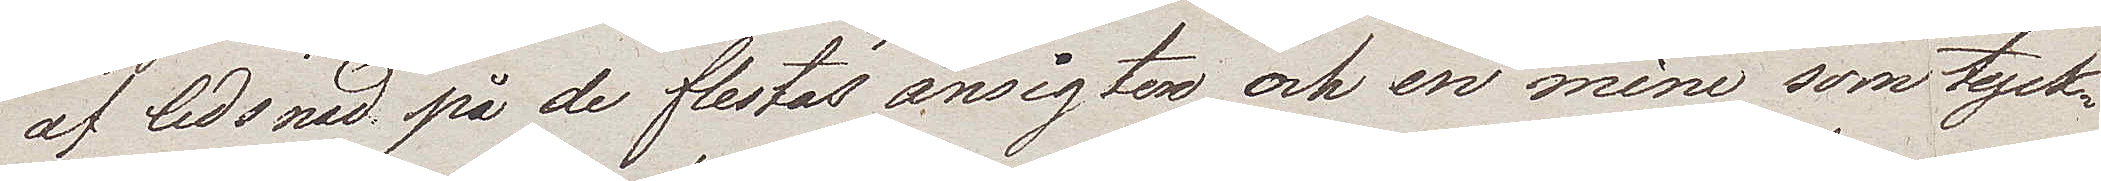af ledsnad på de flestas ansigten och en mine som tyck¬
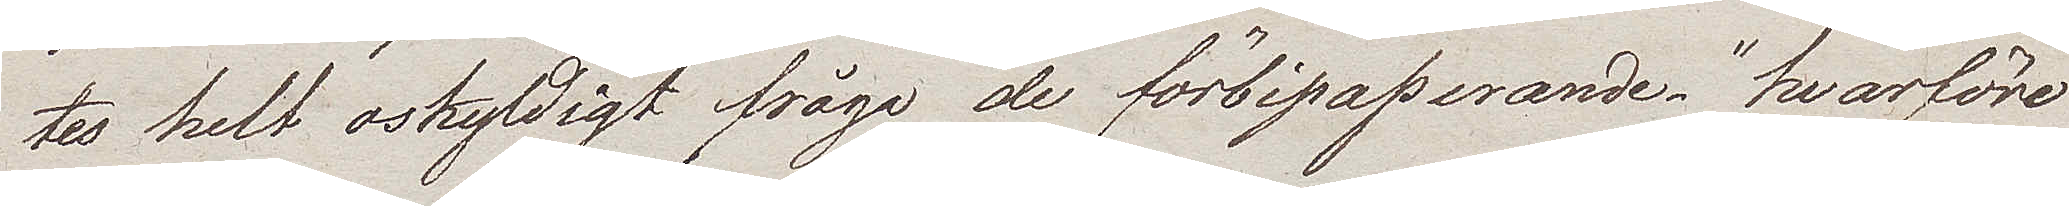tes helt oskyldigt fråga de förbipasserande "hvarföre
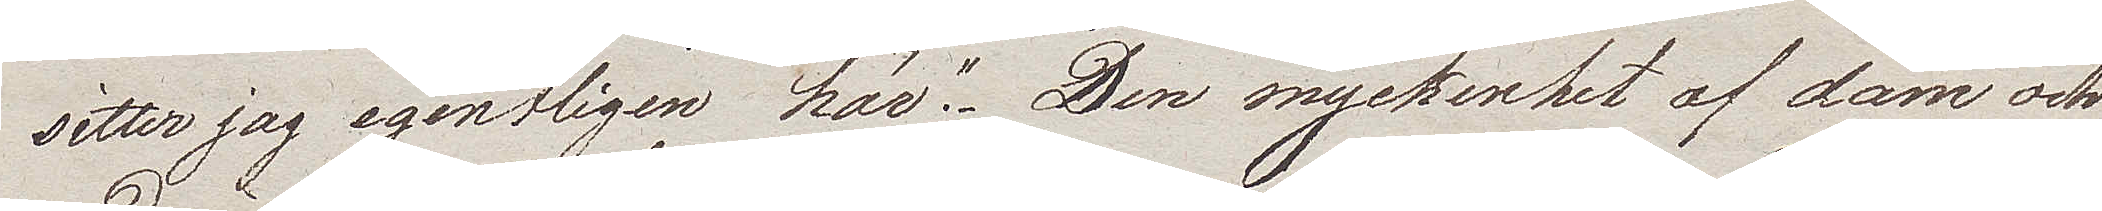sitter jag egentligen här". Den myckenhet af dam och
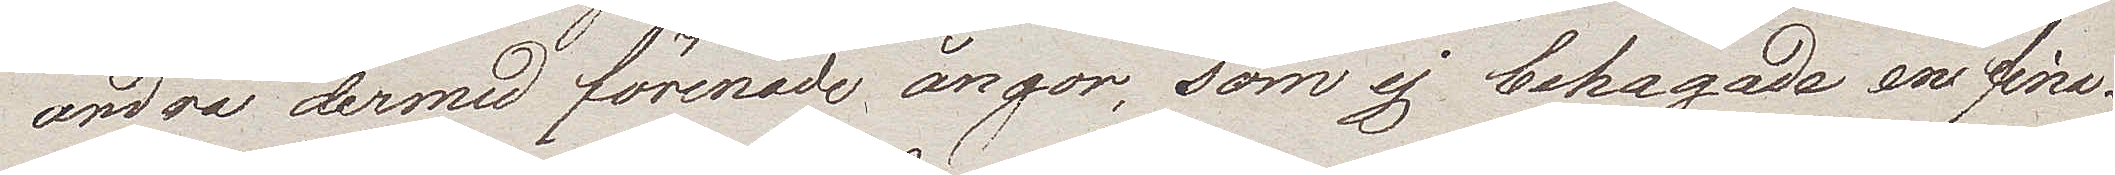andra dermed förenade ångor, som ej behagade ens fina¬
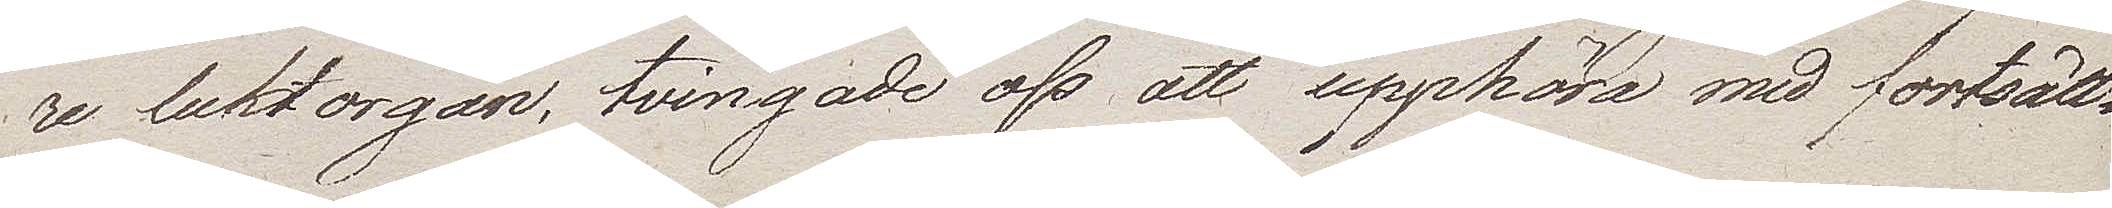re luktorgan, tvingade oss att upphöra med fortsätt¬
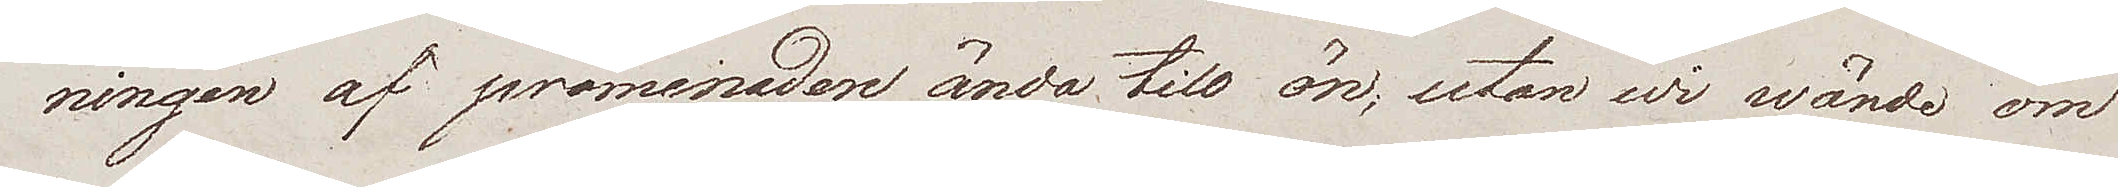ningen af promenaden ända till ön, utan wi wände om
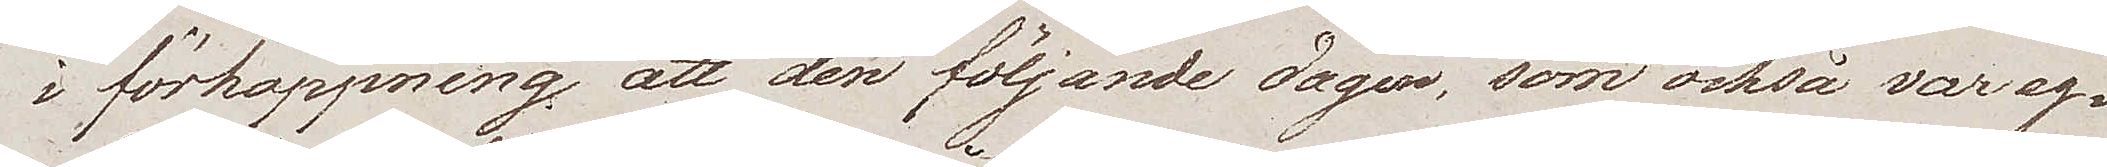i förhoppning att den följande dagen, som också var eg¬
